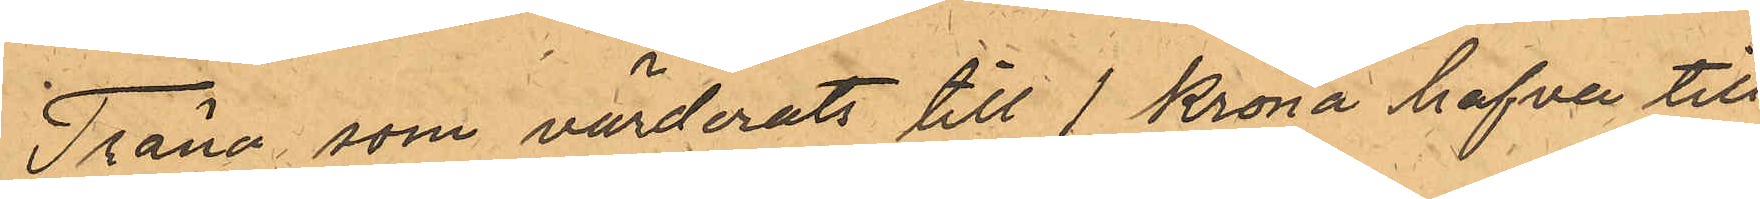Träna, som värderats till 1 Krona hafva till
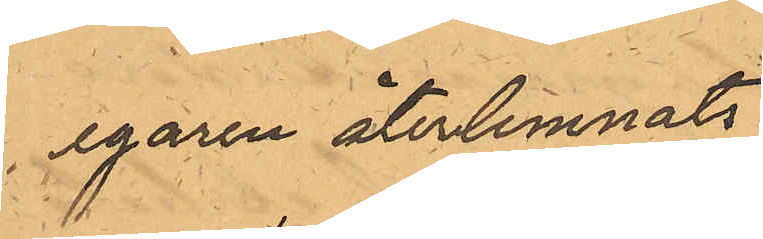egaren återlemnats.
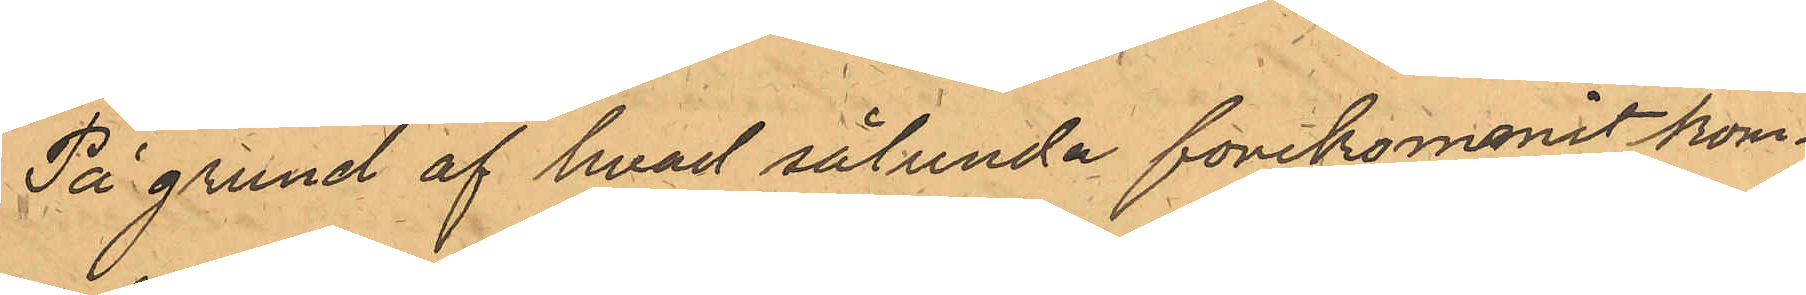På grund af hvad sålunda forekommit kom¬
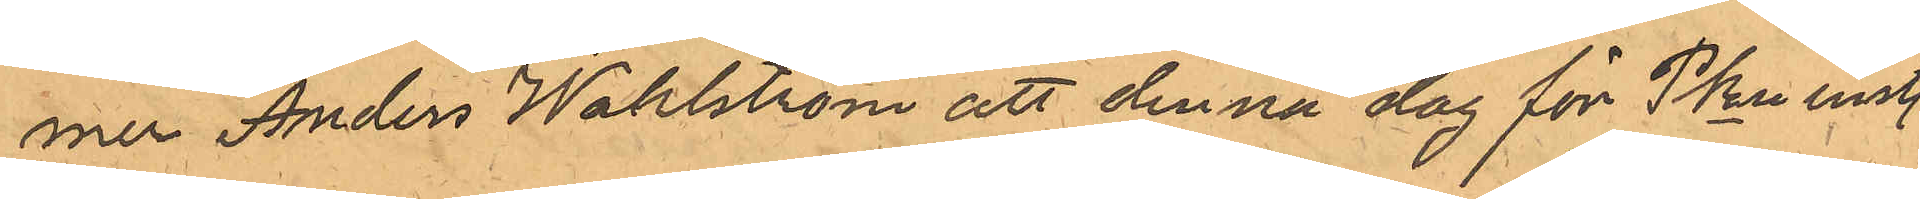mer Anders Wahlström att denna dag för PKn inst.
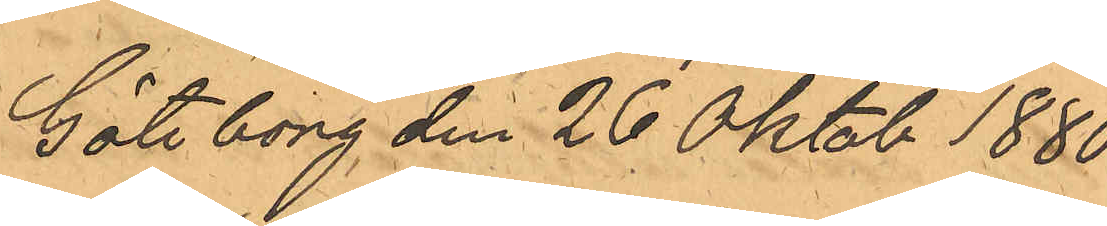Göteborg den 26 Oktob 1880
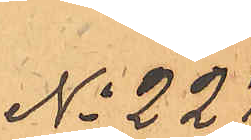No 227
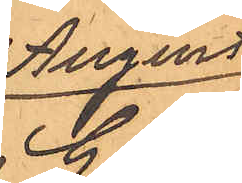August
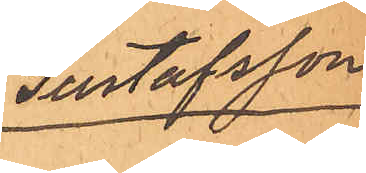Gustafsson
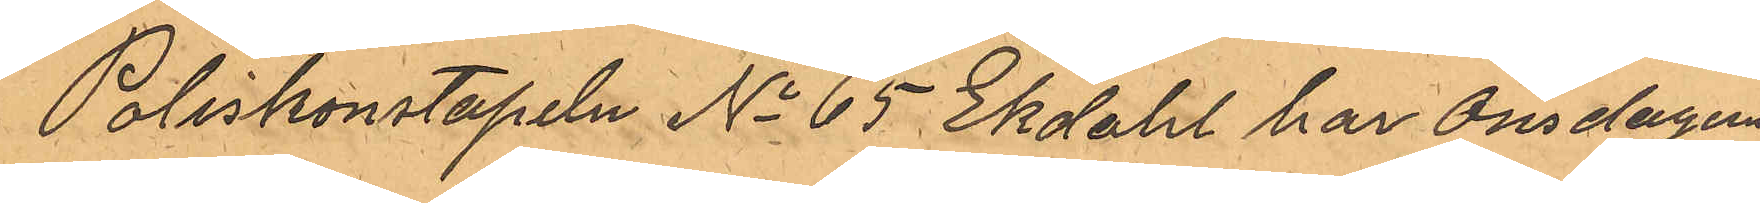Poliskonstapeln No 65 Ekdahl har Onsdagen
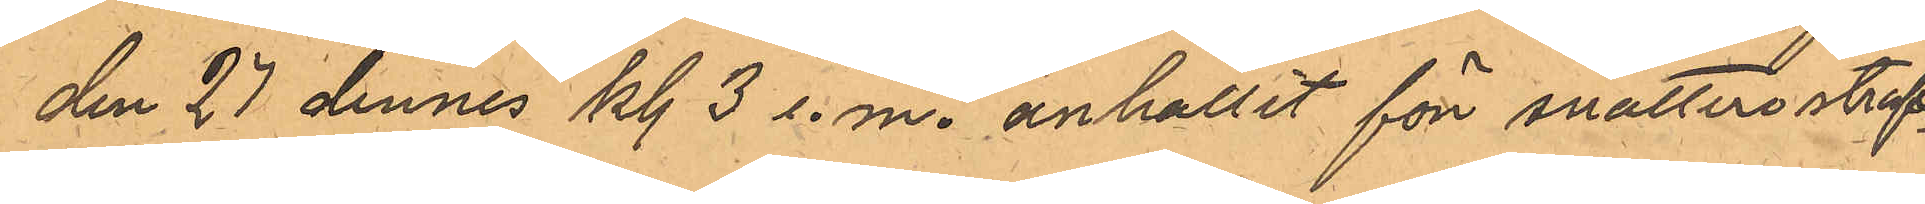den 27 dennes kl. 3 e.m. anhållit för snatteri straf¬
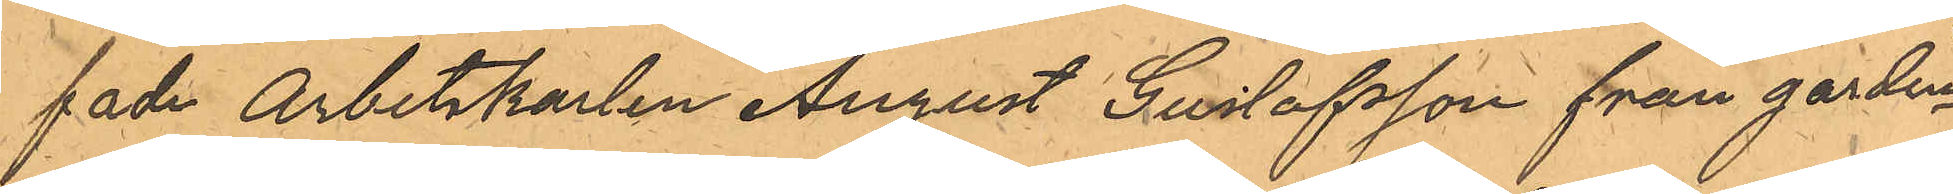fade Arbetskarlen August Gustafsson från garden
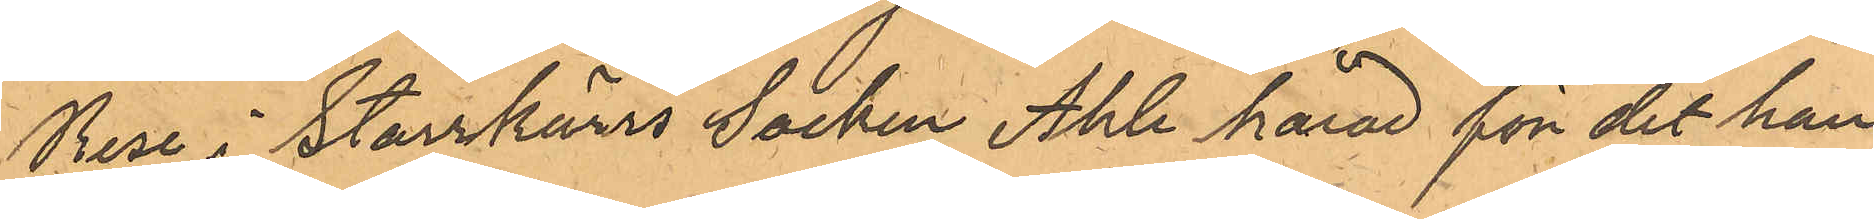Rese i Starrkärrs Socken Ahle härad för det han
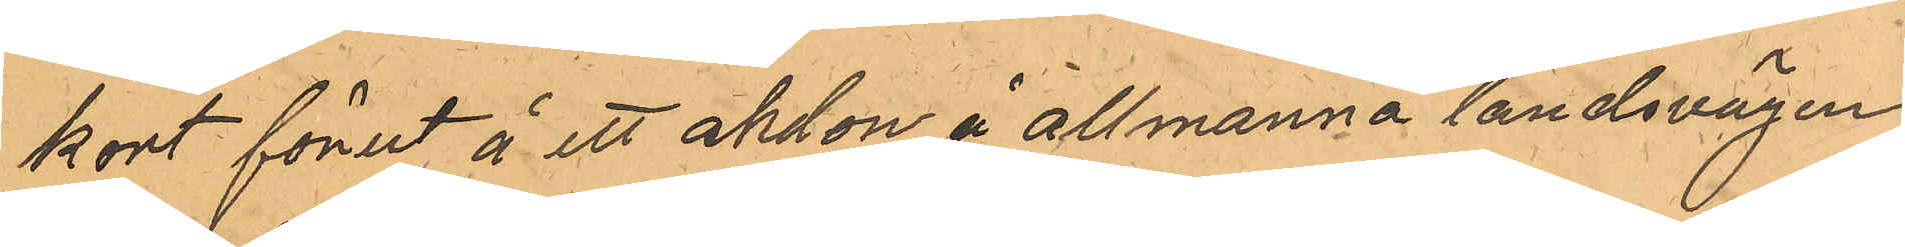kort förut å ett akdon å allmanna landsvägen
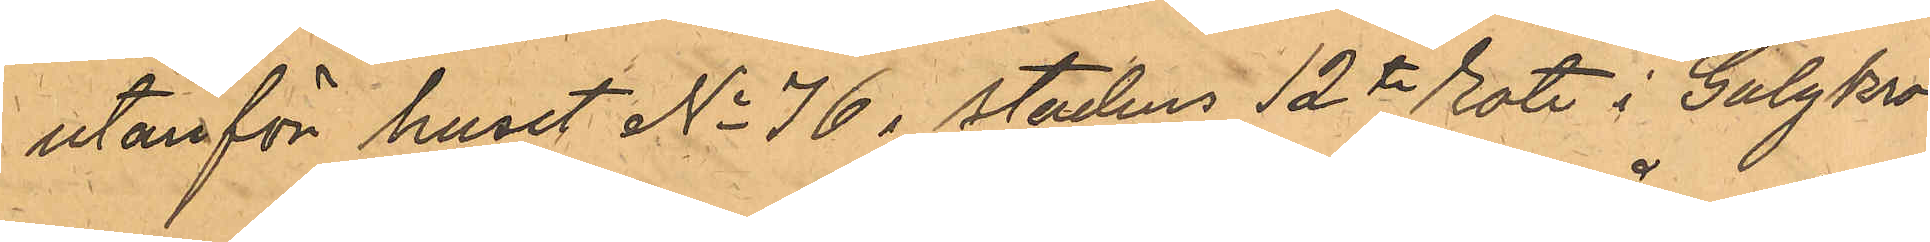utanför huset No 76 i stadens 12te rote i Galgkro¬
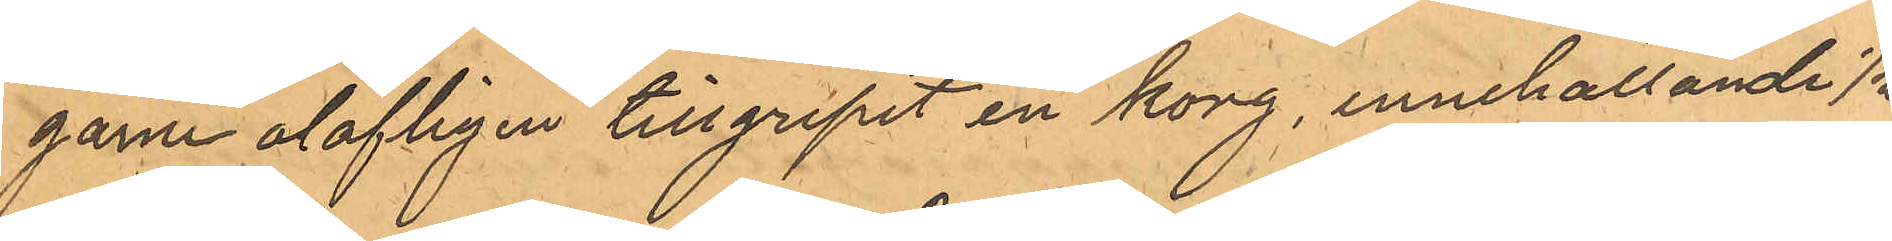garne olofligen tillgripit en korg, innehållande 1/2
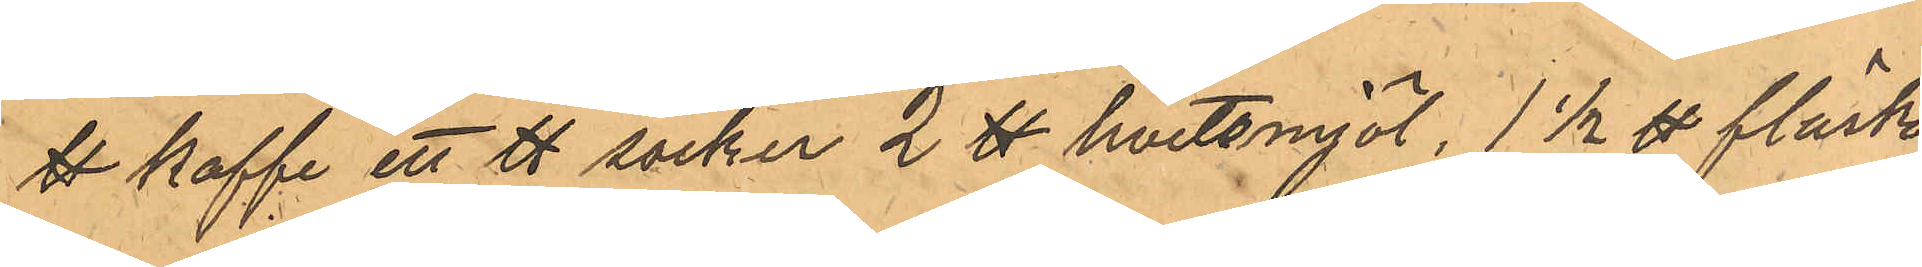℔ kaffe ett ℔ socker 2 ℔ hvetemjöl, 1 1/2 ℔ fläsk
